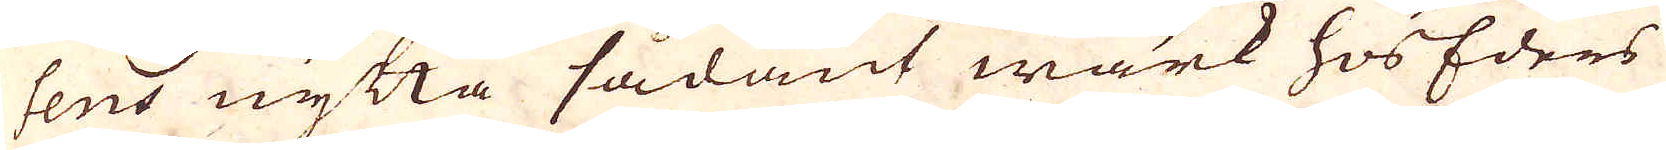sens nytta sådant wärk hos Eders
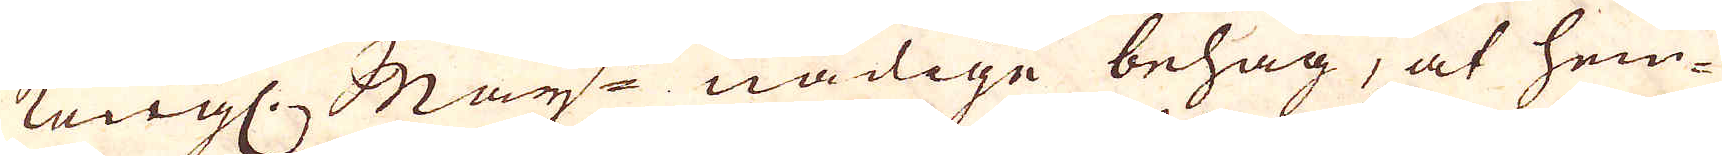Kongl. Maj:ts nådige behag, at hem-
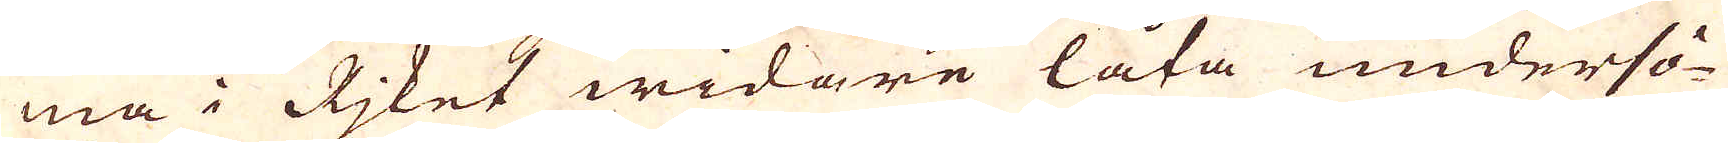ma i Rjket widare låta undersö-
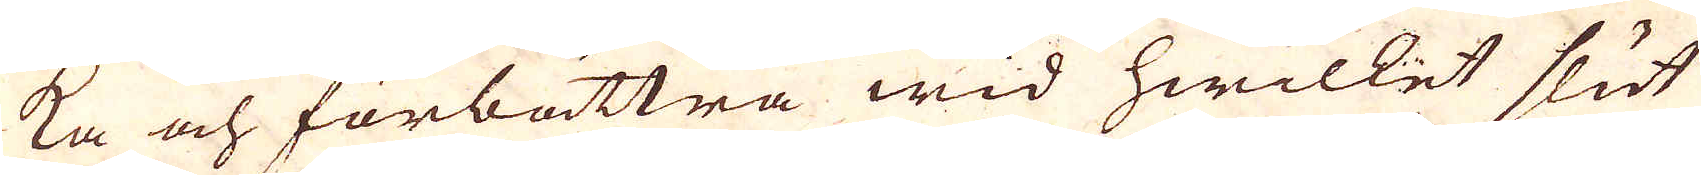ka och förbättra wid hwilket slut
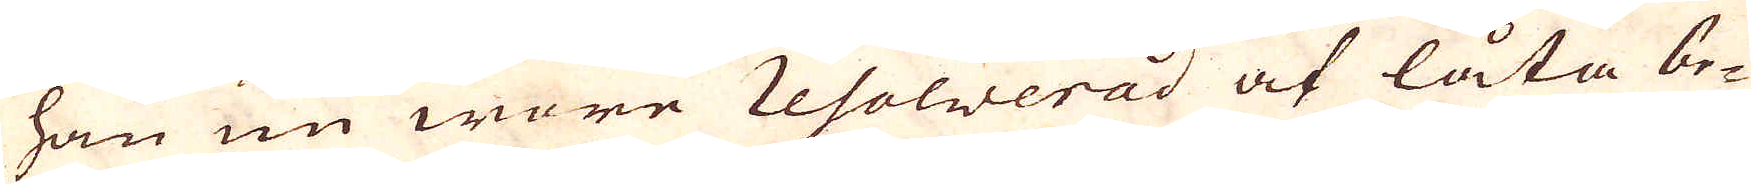han nu wore Resolwerad at låta be-
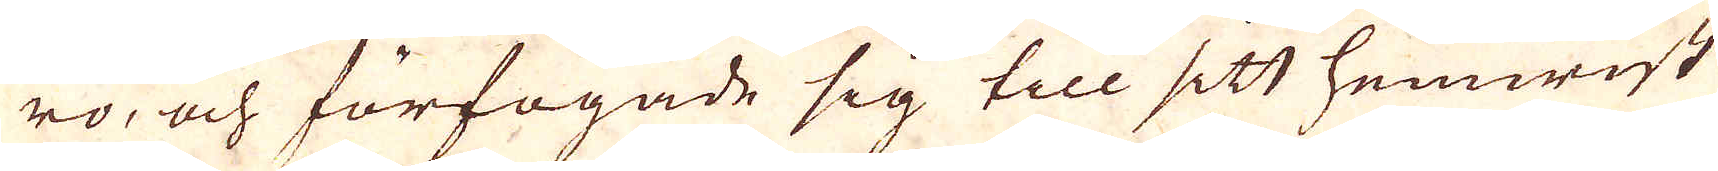ro, och förfogade sig till sitt hemwist
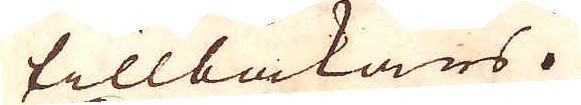tillbakars.
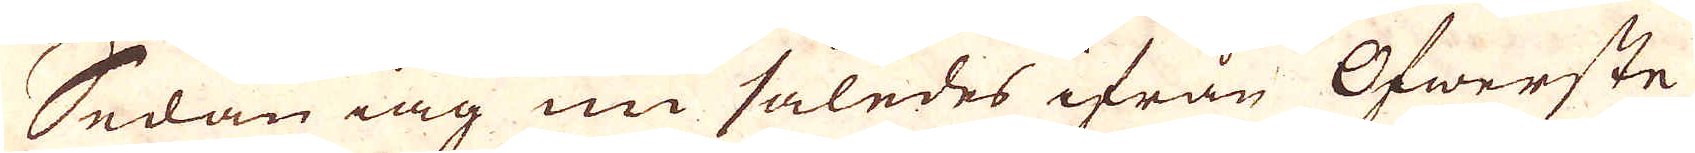Sedan iag nu således ifrån Öfwerste
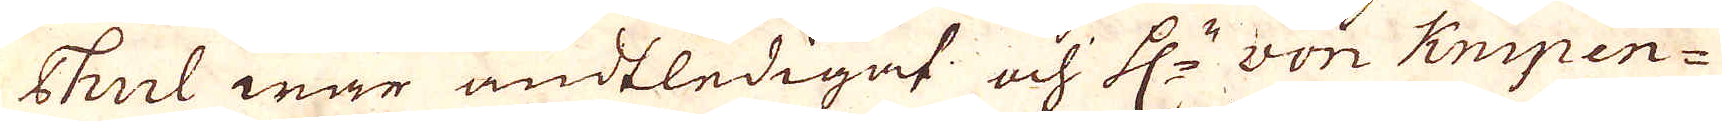Thul war ändtledigad och H:r won Knipen-
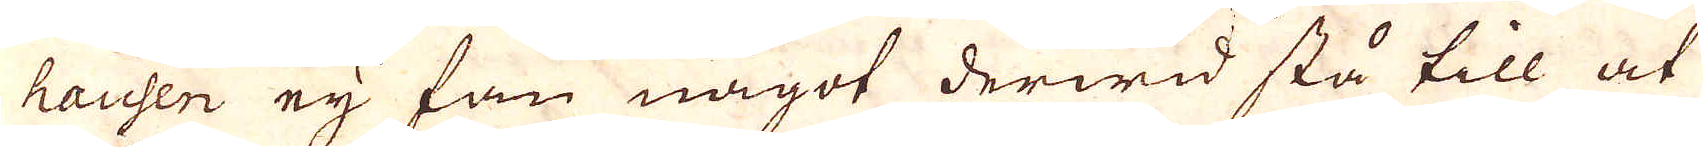hausen ey fan något derwid stå till at
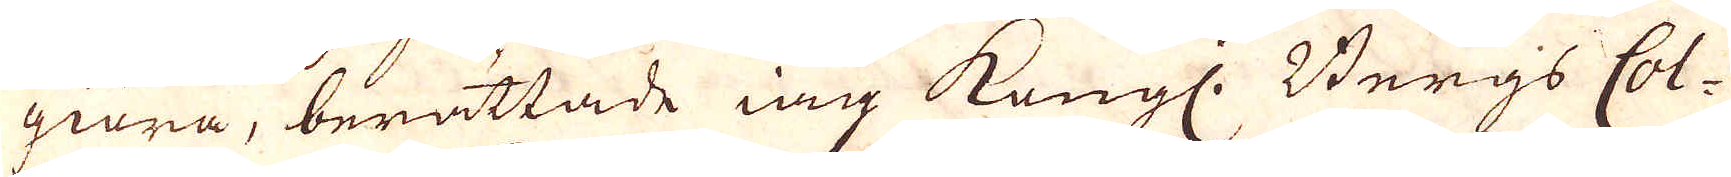giöra, berättade iag Kongl. Bergs Col-
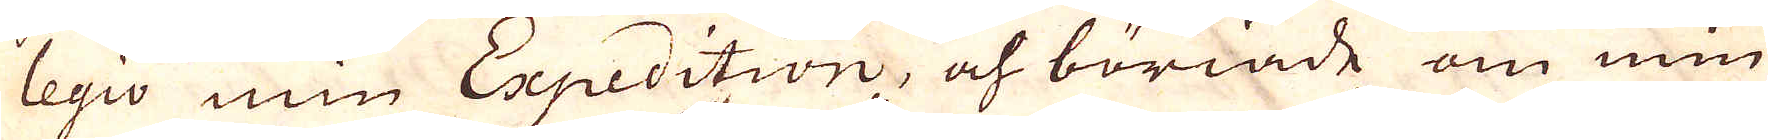legio min Expedition, och böriade om min
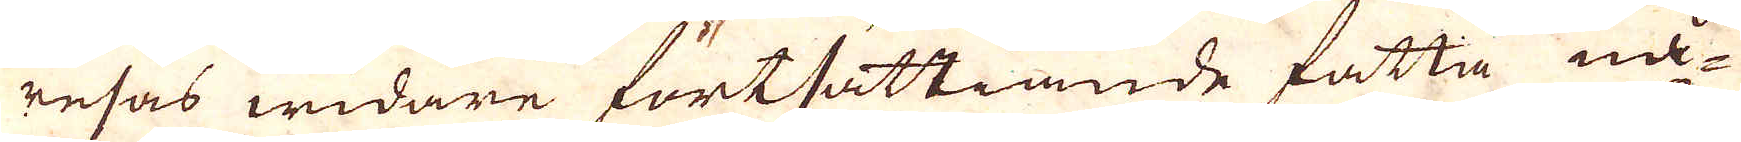resas widare fortsättiande fatta nå-
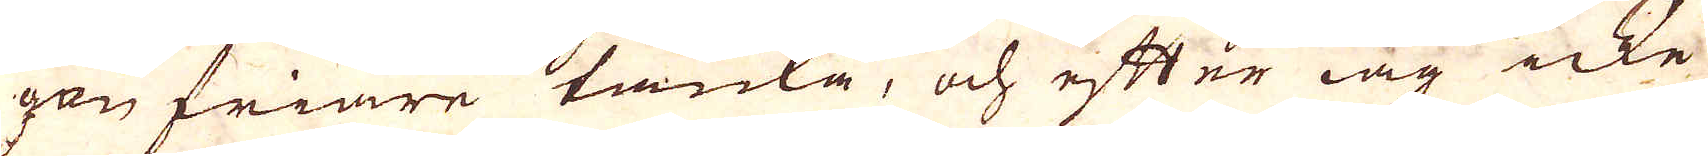gon friare tanka, och efter iag icke
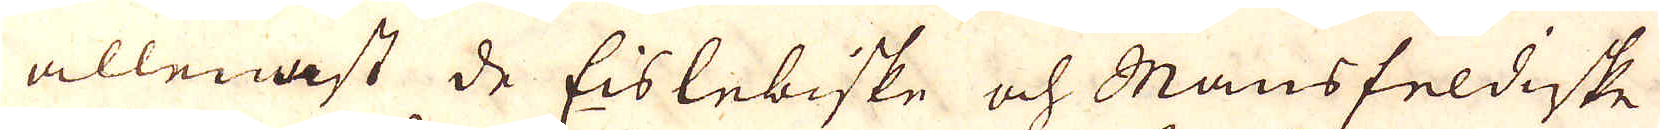allenast de Eislebiske och Mansfeldiske
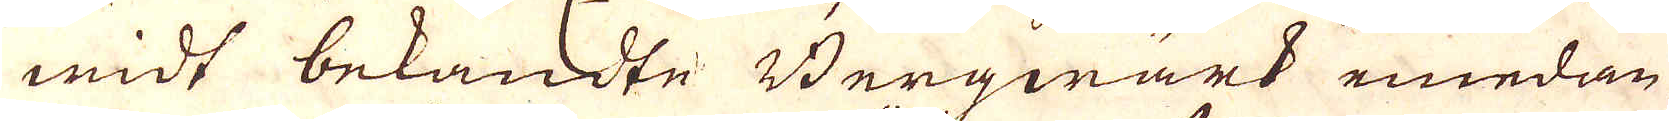widt bekandte Bergwärk emedan
